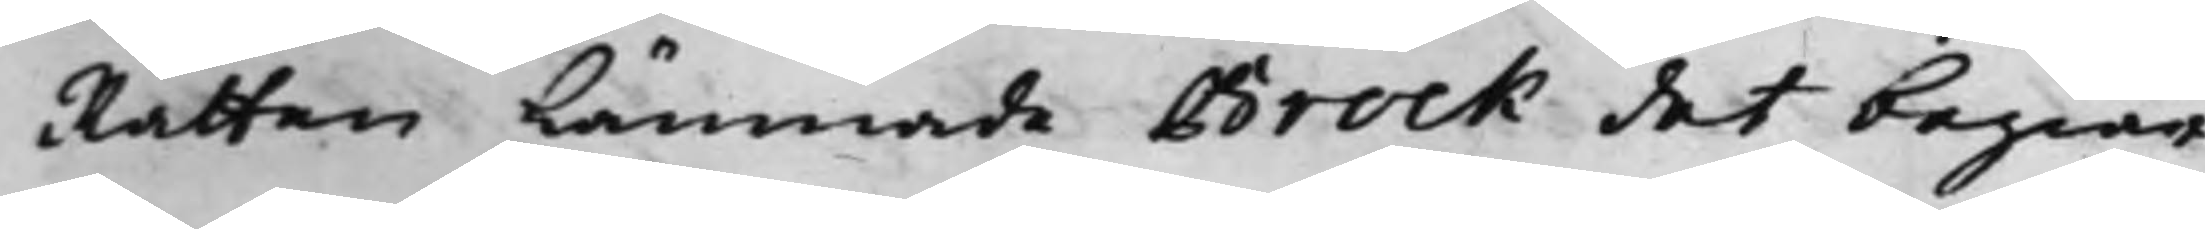Rätten Lämnade Brock det begiär¬
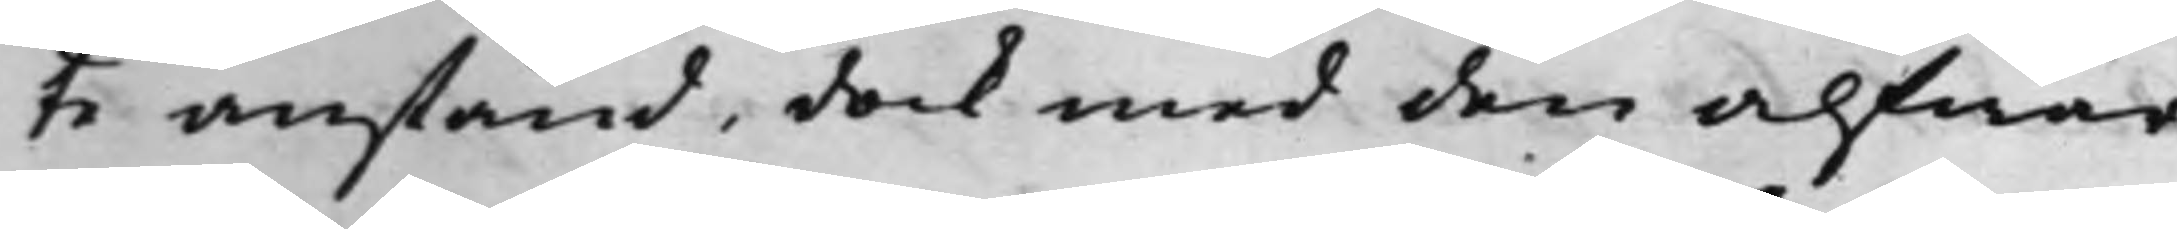te anstånd, dock med den alfwar¬
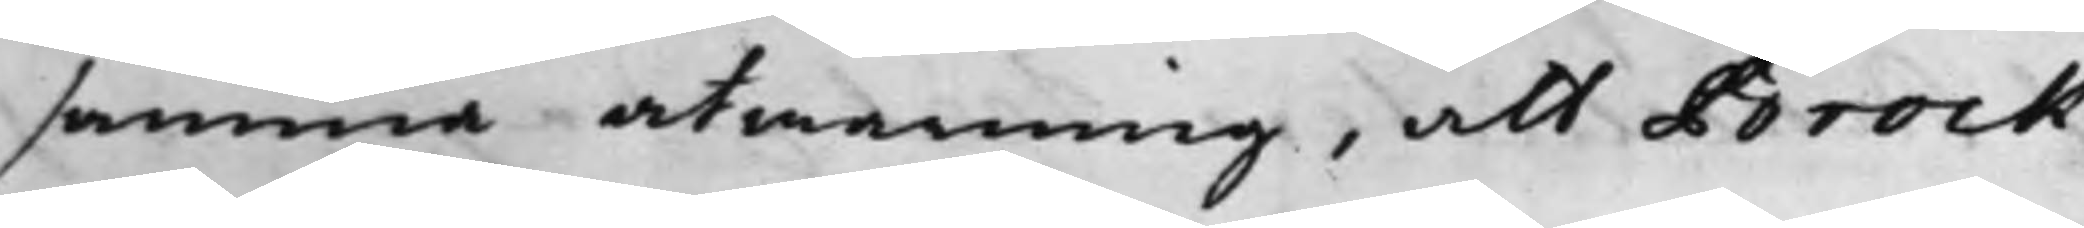samma atwarning, att Brock
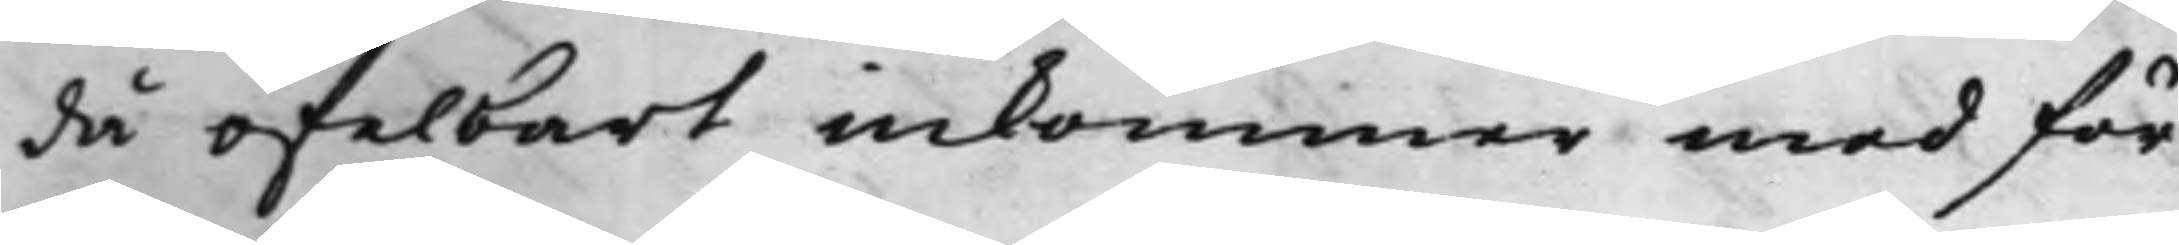då ofelbart inkommer med för¬
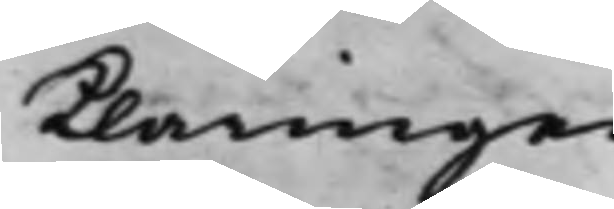klaringen.
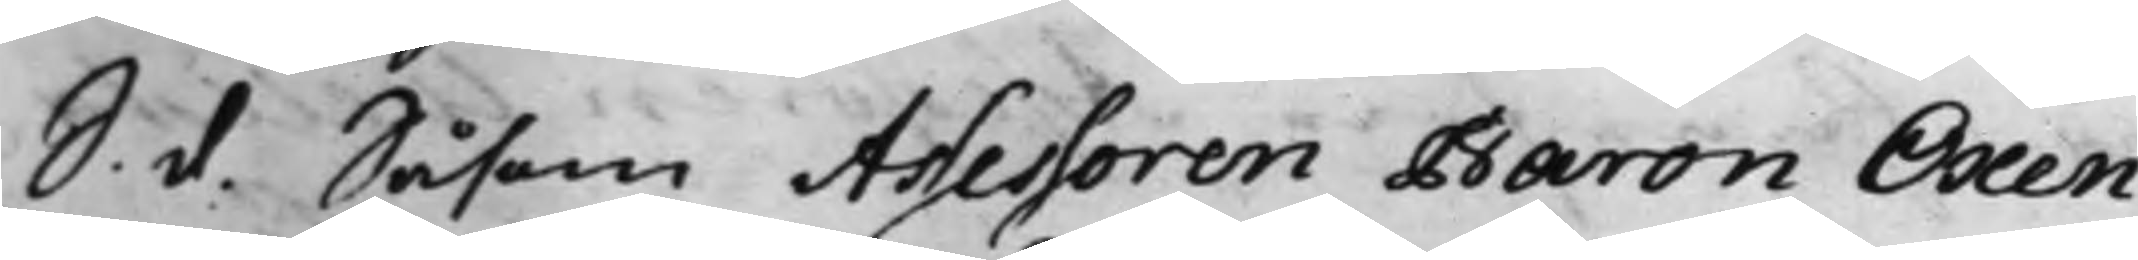S. d. Såsom Assessoren Baron Oxen¬
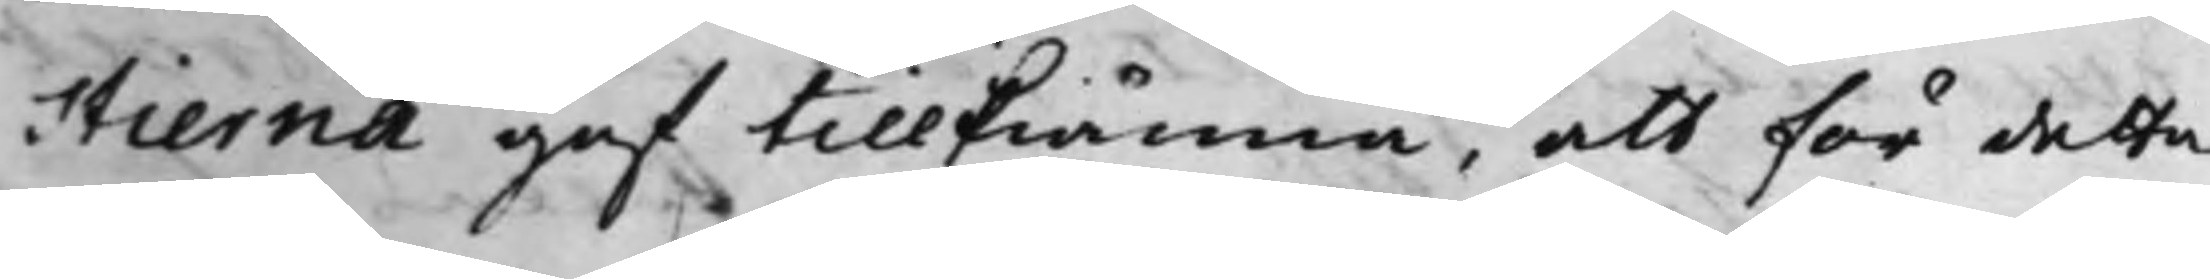stierna gaf tillkiänna, att för detta
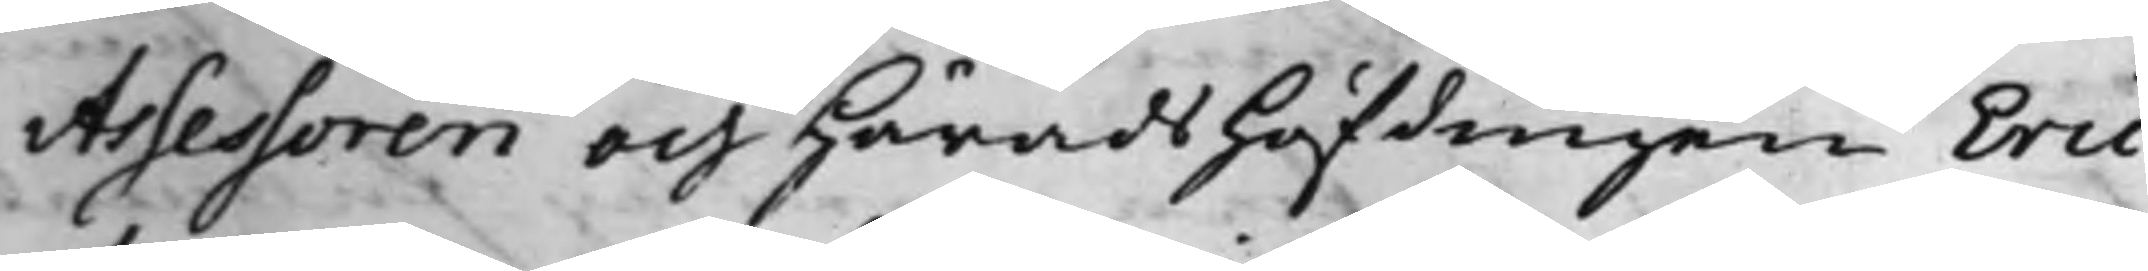Assessoren och HäradsHöfdingen Eric
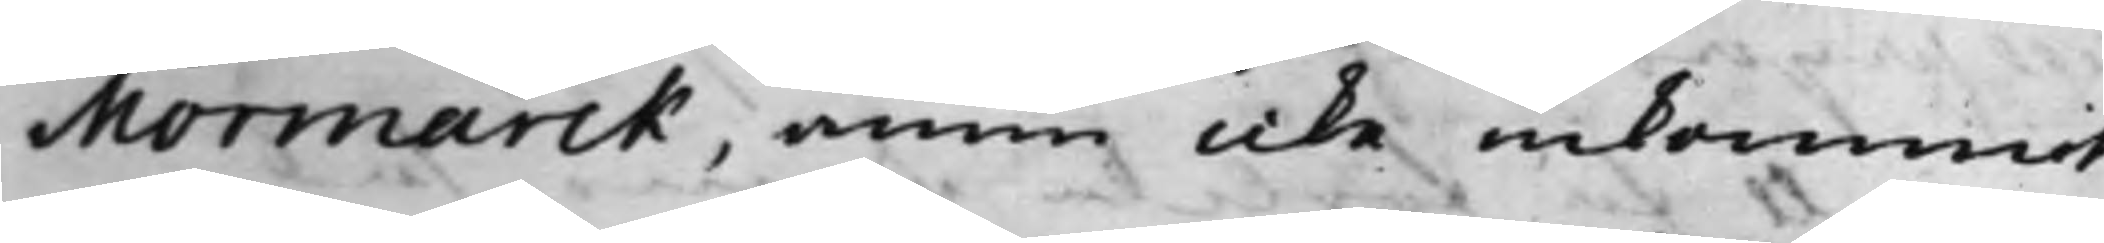Mormarck, ännu icke inkommit
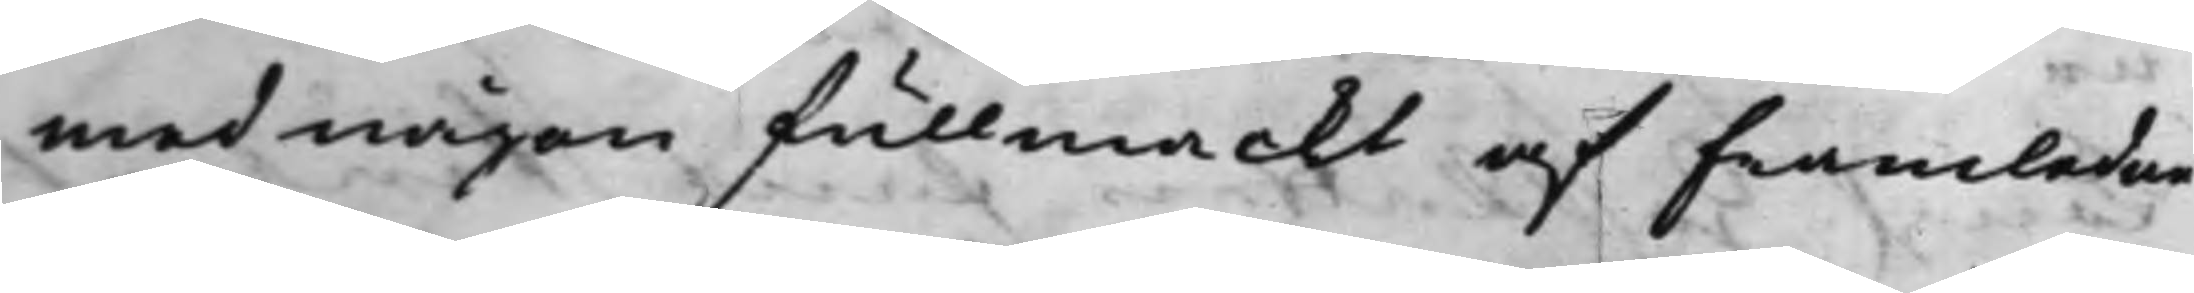med någon fullmackt af Framledne
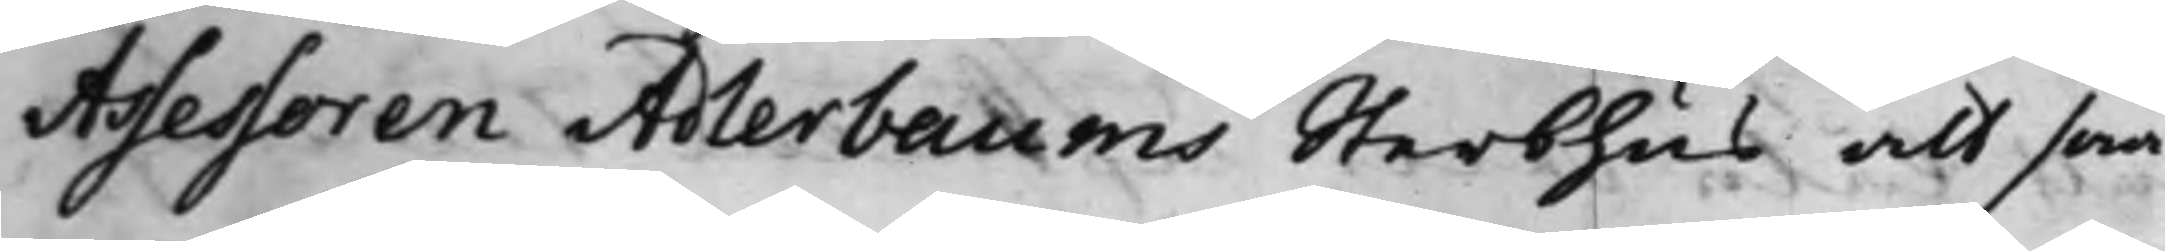Assessoren Adlerbaums Sterbhus att swa¬
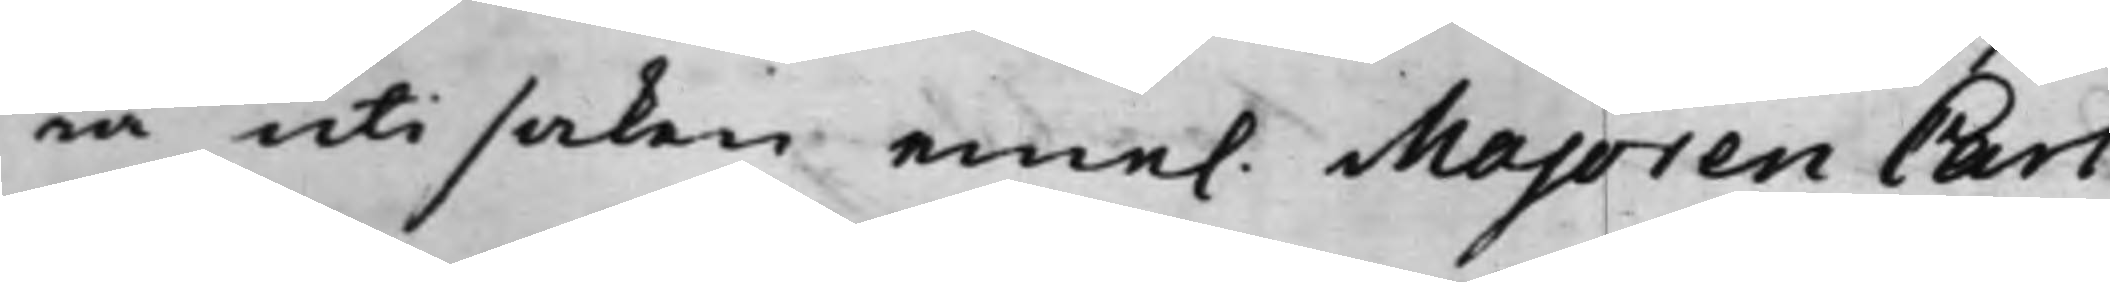ra uti saken eme. Majoren Carl
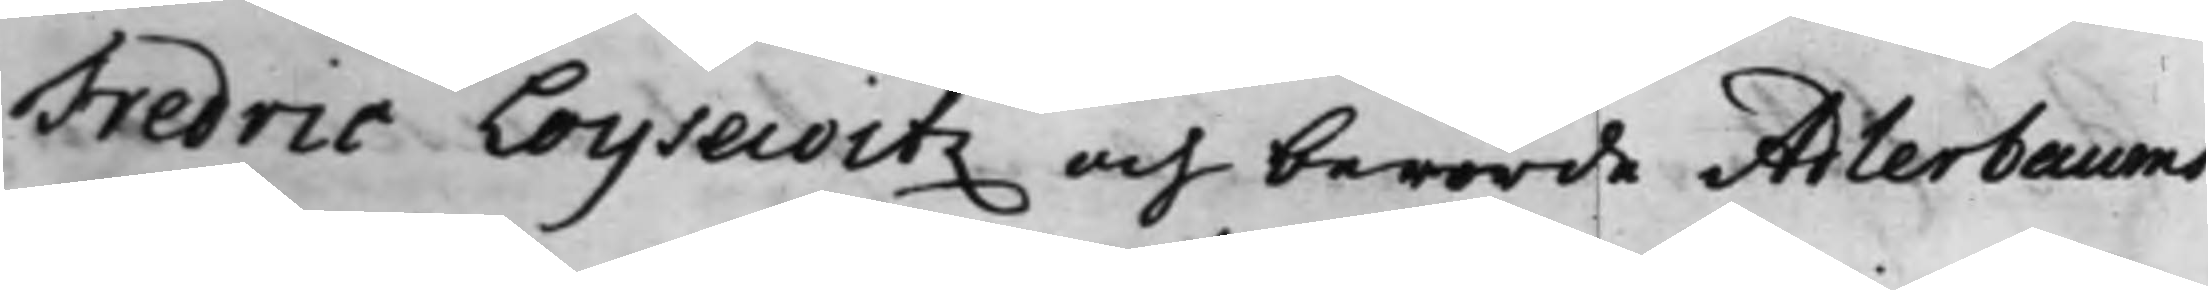Fredric Loysweitz och berörde Adlerbaums
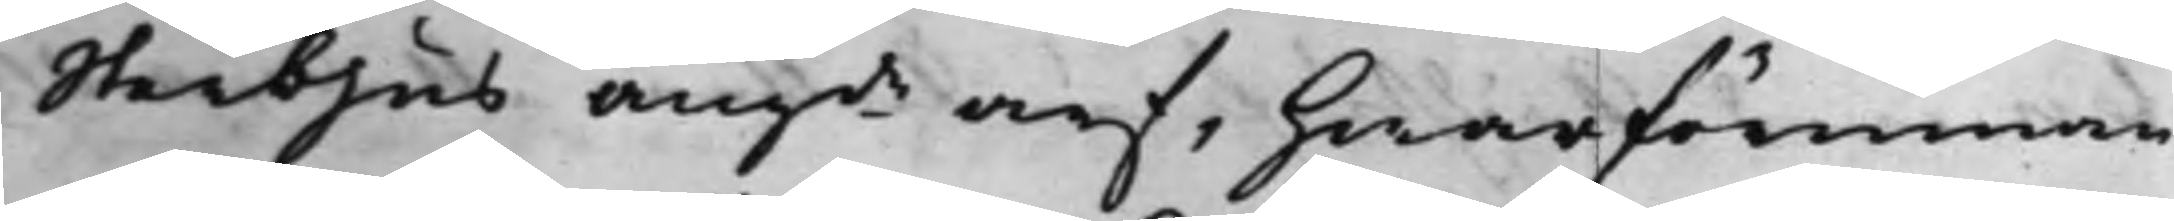Sterbhus angde arf, hwarförinnan
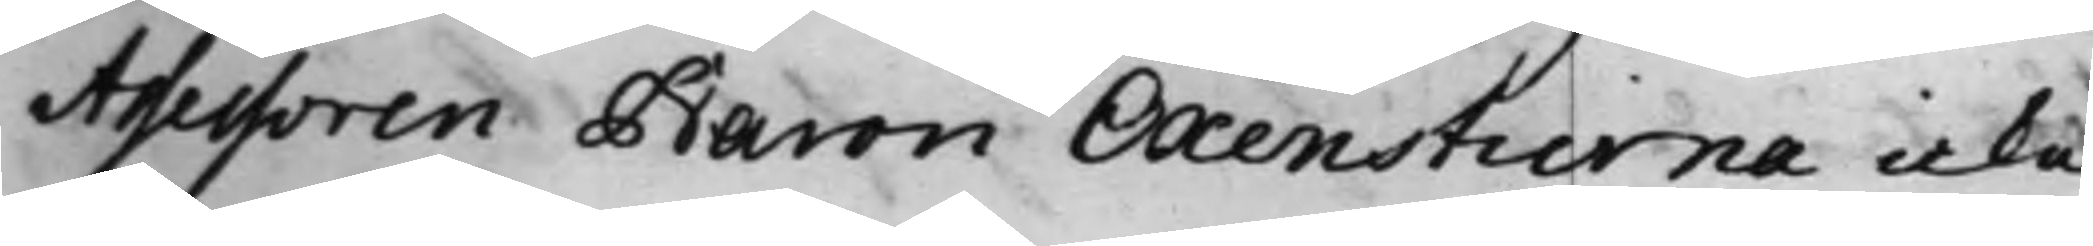Assessoren Baron Oxenstierna icke
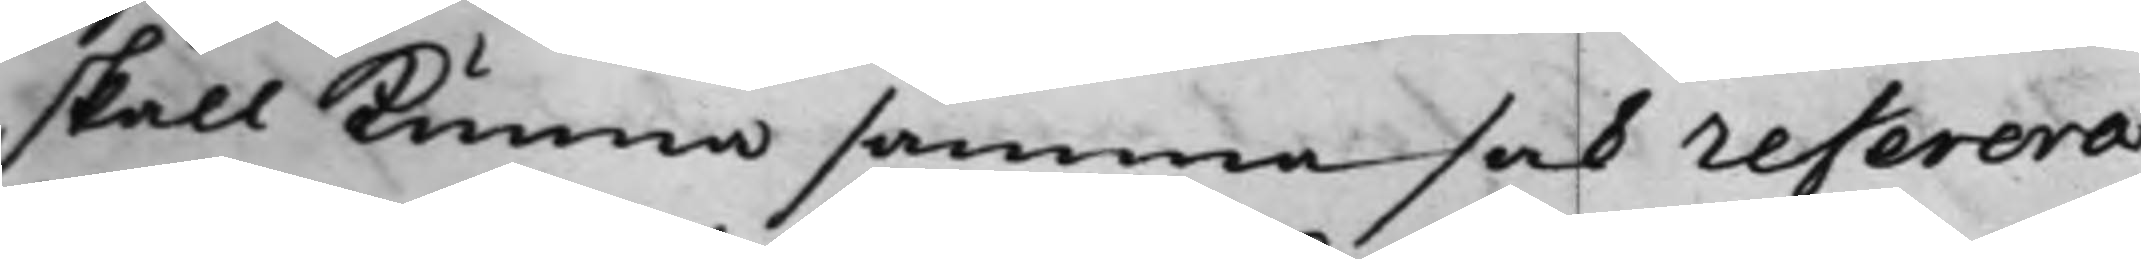skall kunna samma sak referera;
